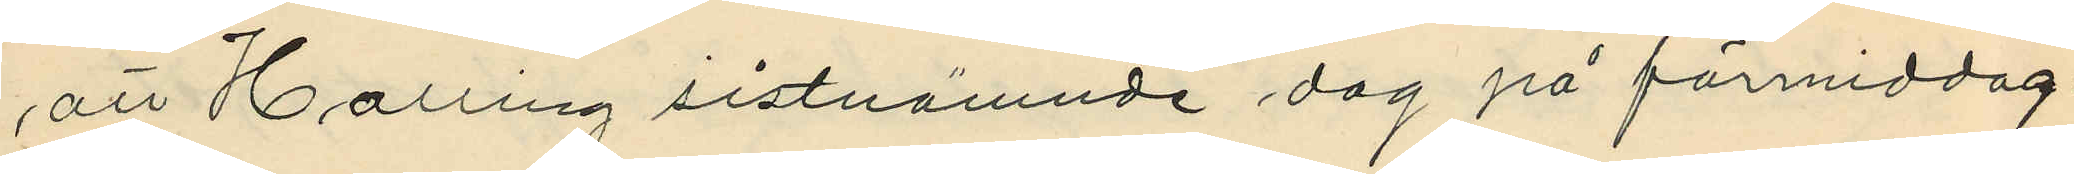att Halling sistnämnde dag på förmiddag¬
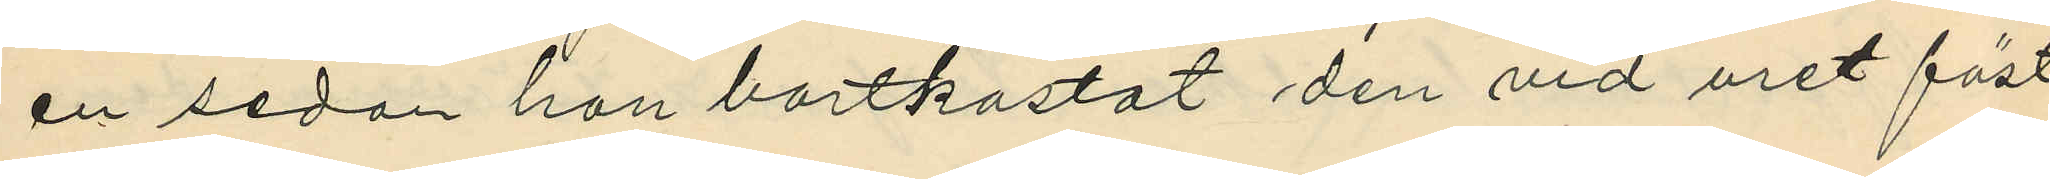en sedan han bortkastat den vid uret fäst¬
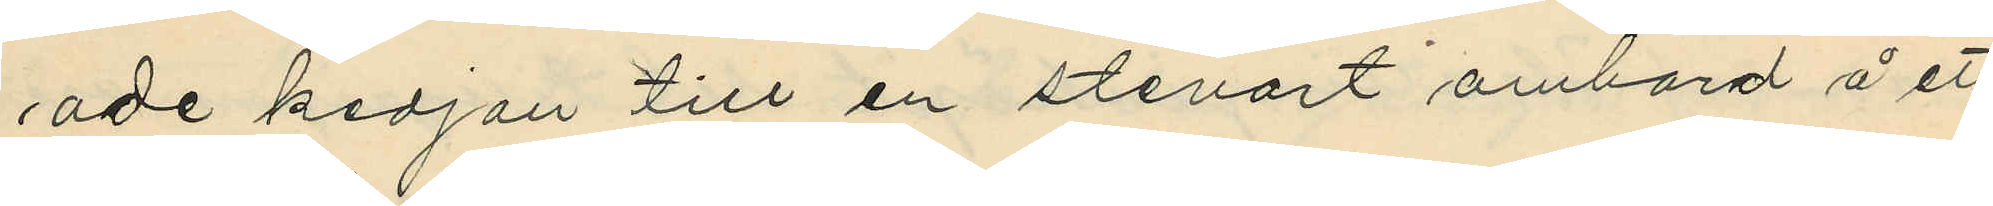ade kedjan till en stevart ombord å ett
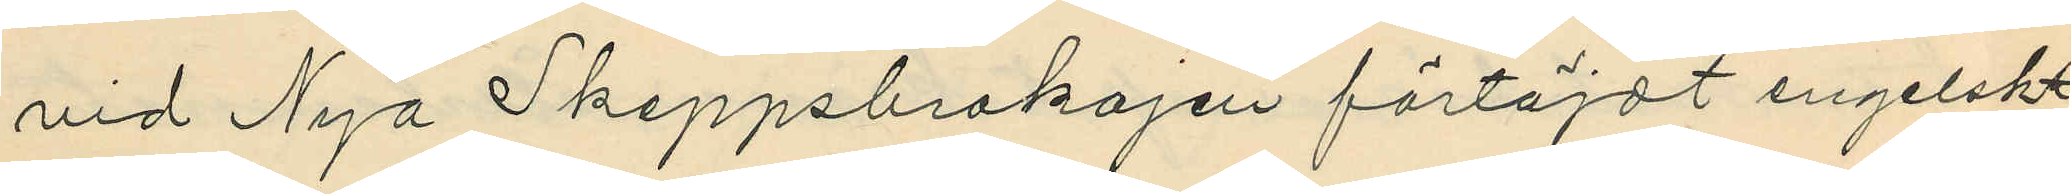vid Nya Skeppsbrokajen förtöjdt engelskt
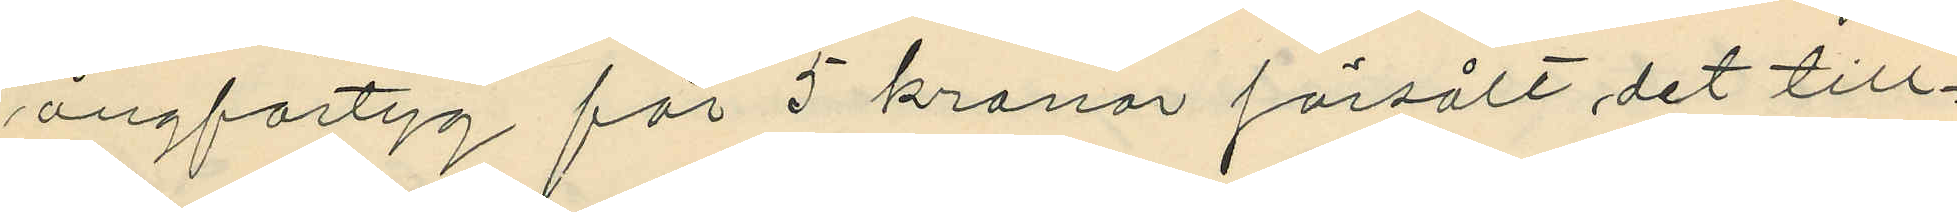ångfartyg för 5 kronor försålt det till¬
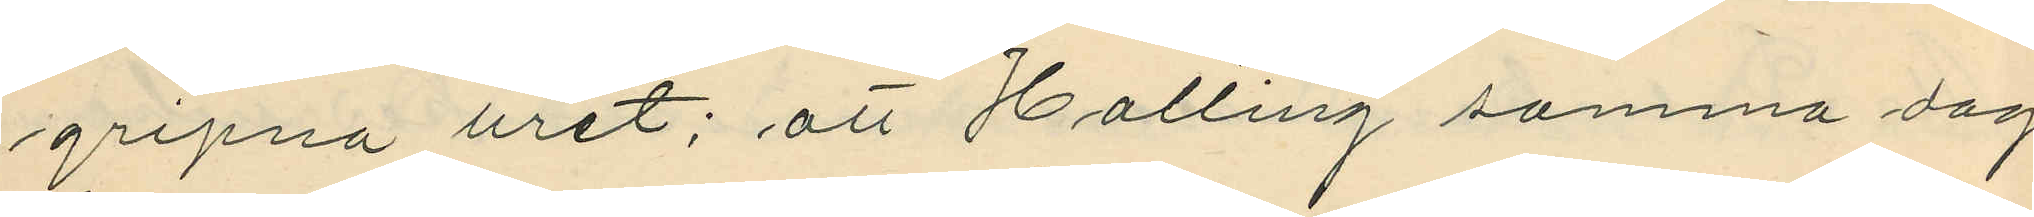gripna uret; att Halling samma dag
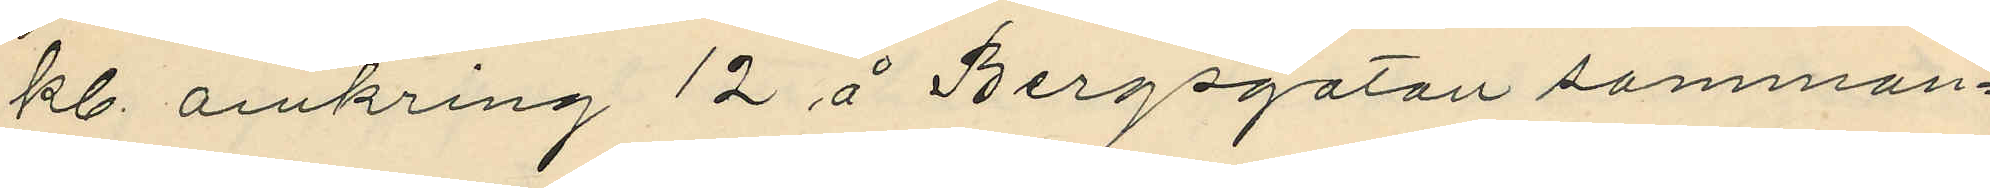kl. omkring 12 å Bergsgatan samman¬
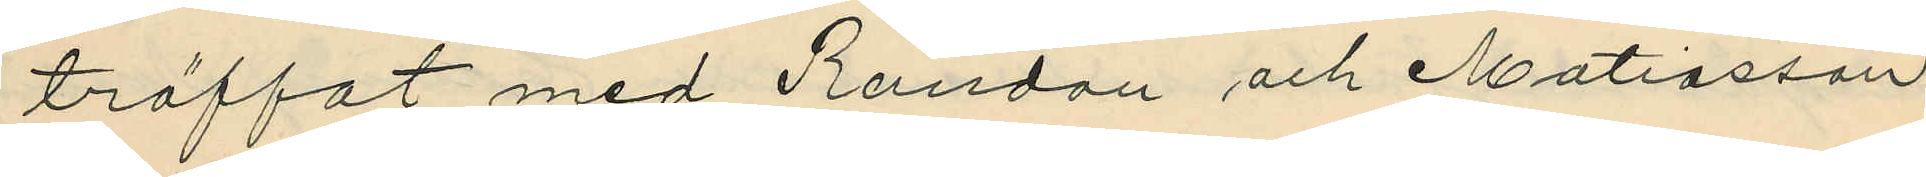träffat med Randau och Matiasson
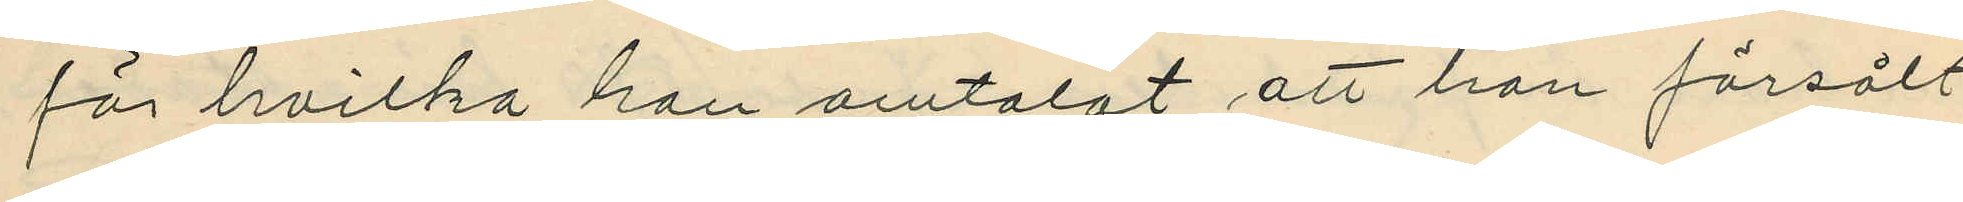för hvilka han omtalat att han försålt
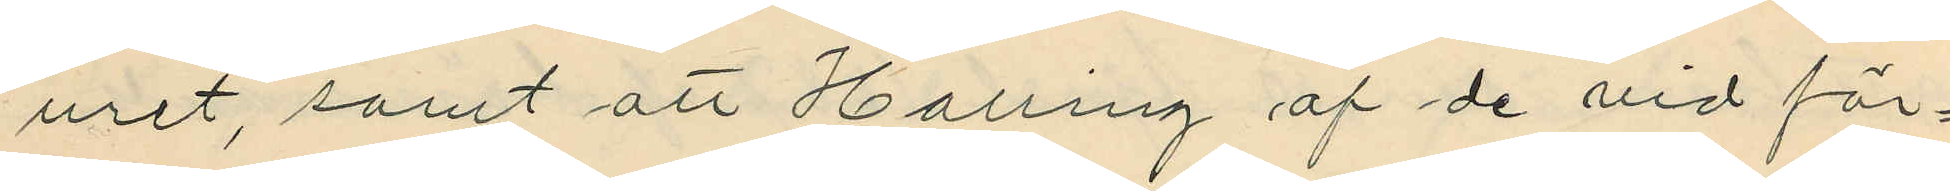uret, samt att Halling af de vid för¬
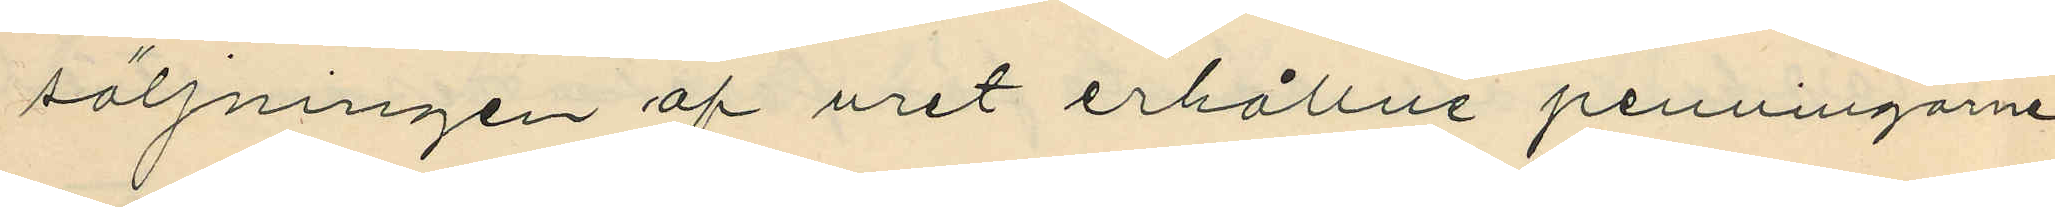säljningen af uret erhållne penningarne
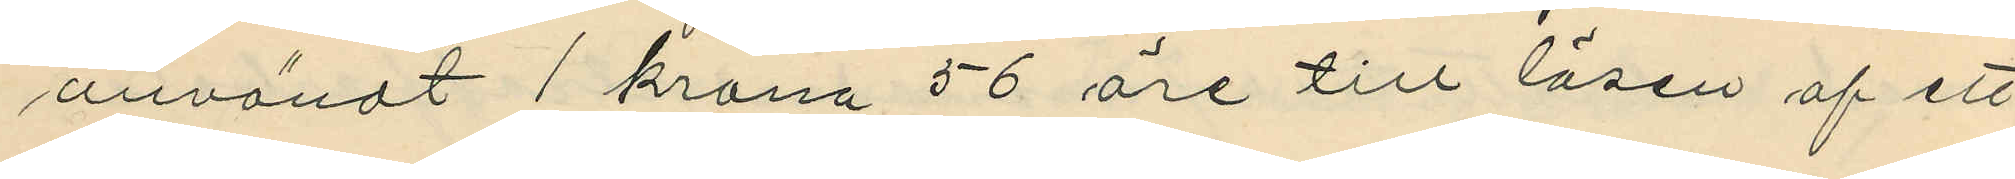användt 1 krona 56 öre till lösen af ett
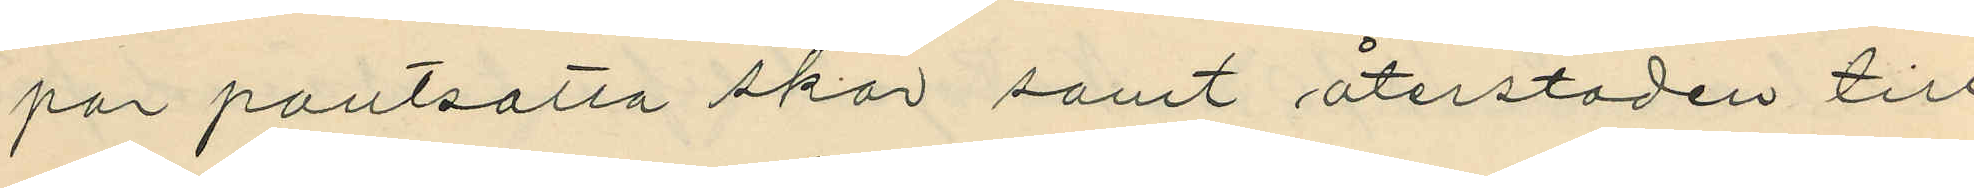par pantsatta skor samt återstoden till
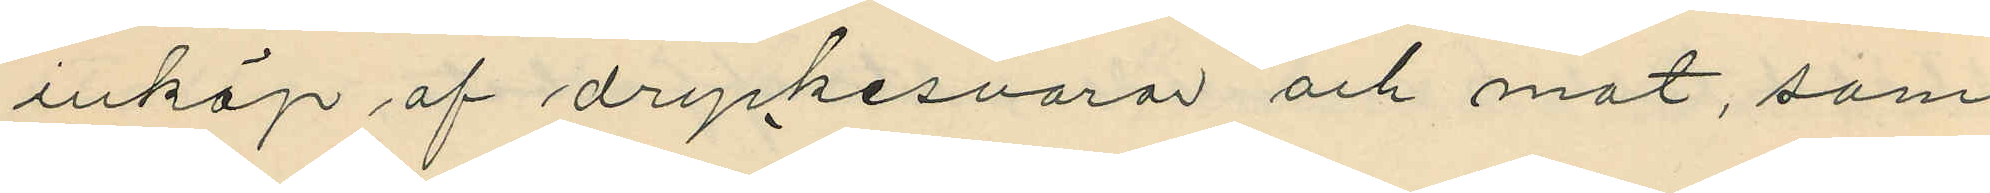inköp af dryckesvaror och mat, som
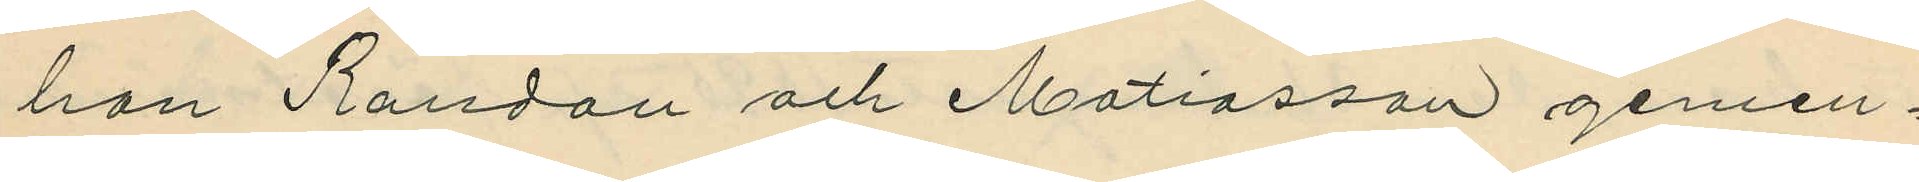han Randau och Matiasson gemen¬
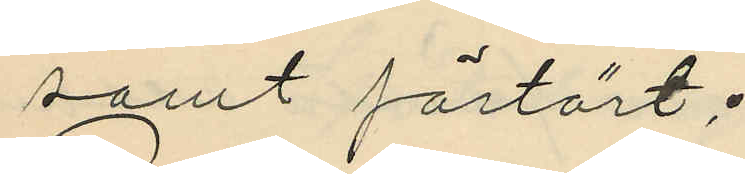samt förtärt;
